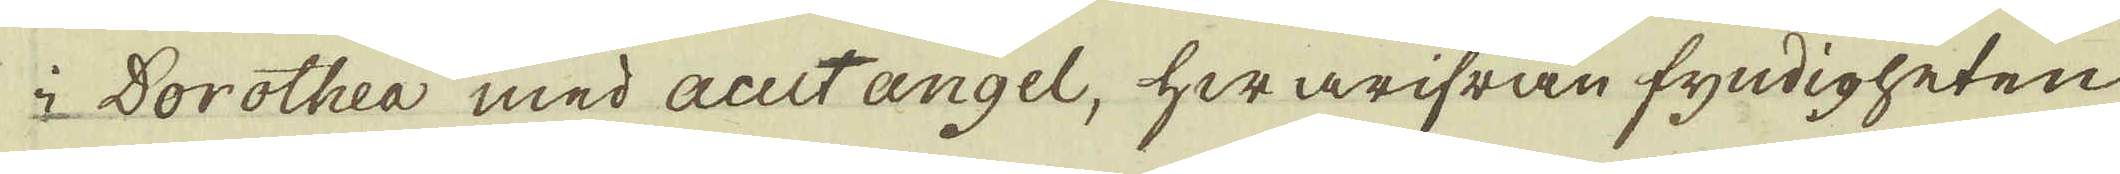i Dorothea med auctangel, hwarifrån fyndigheten
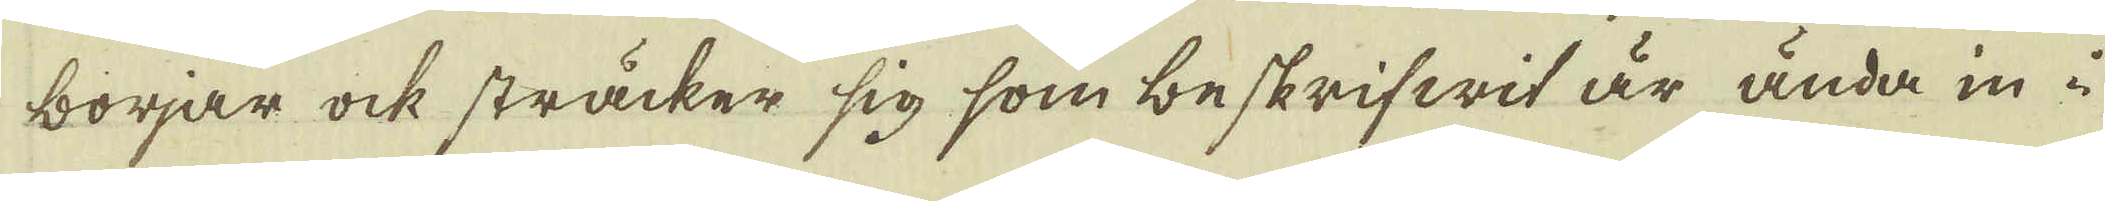börjar ock sträcker sig som beskrifwit är ända in i
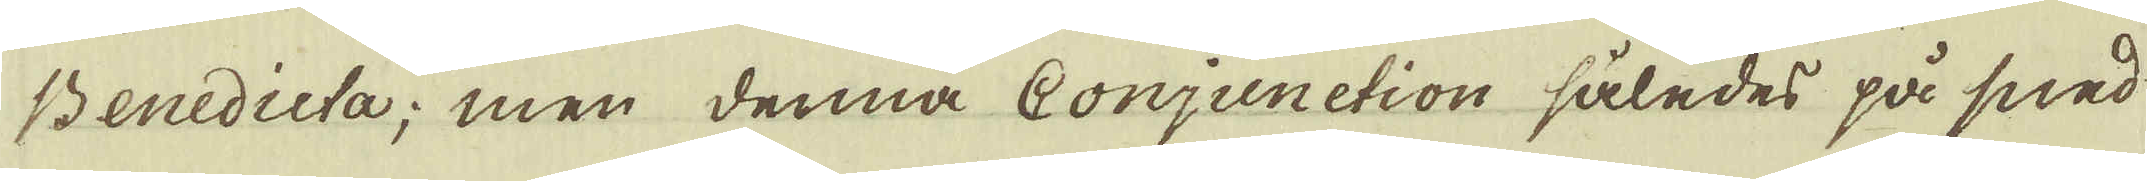Benedicta; men denna Conjunction således på sned
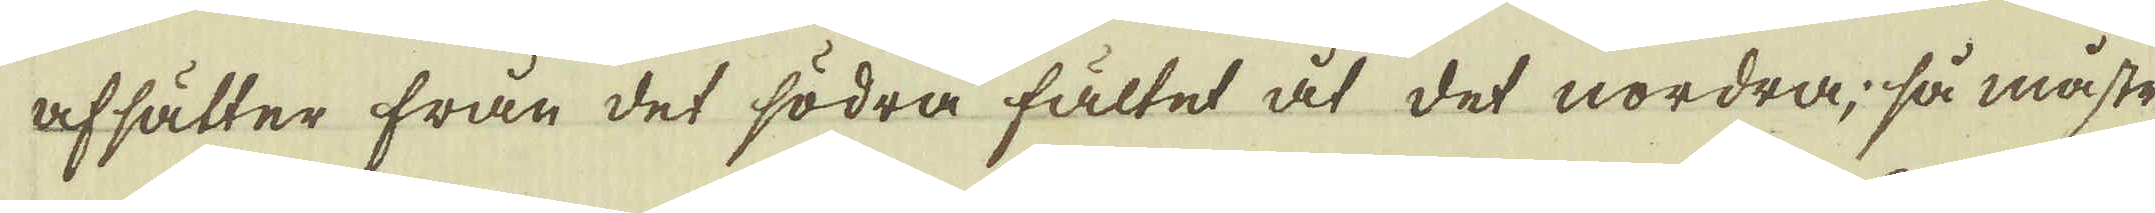afsätter från det södra fältet åt det nordra, så måste,
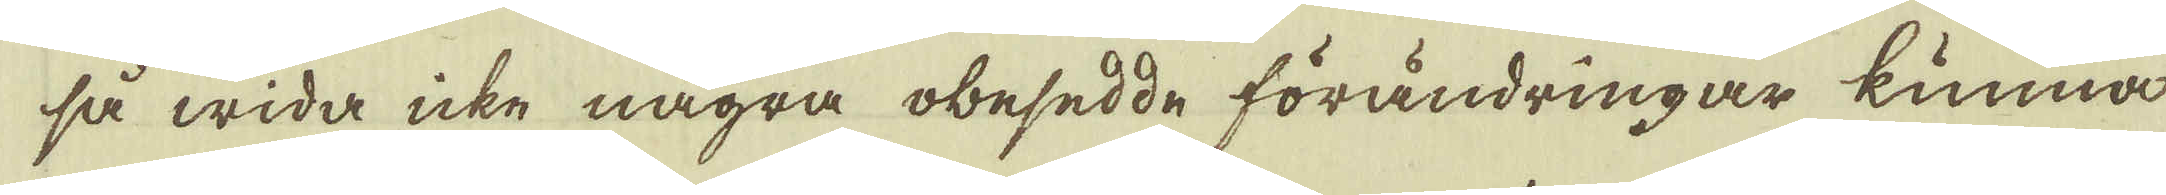så wida icke några obesedde förändringar kunna
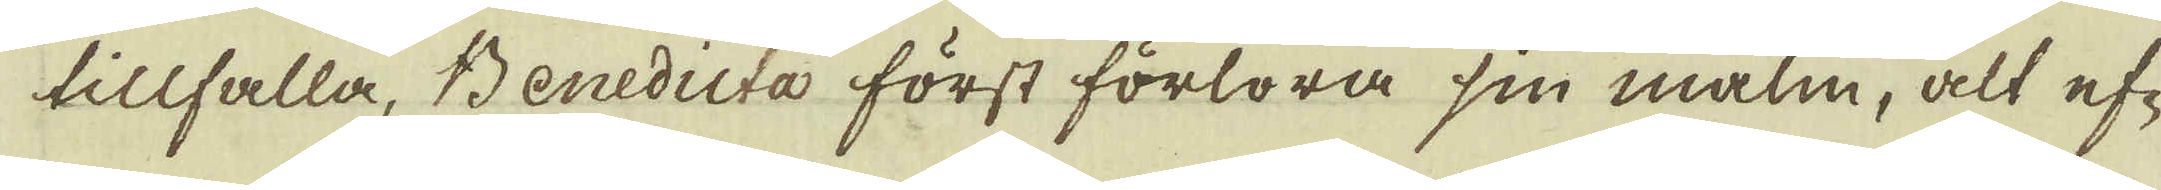tillfalla, Benedicta först förlora sin malm, alt ef-
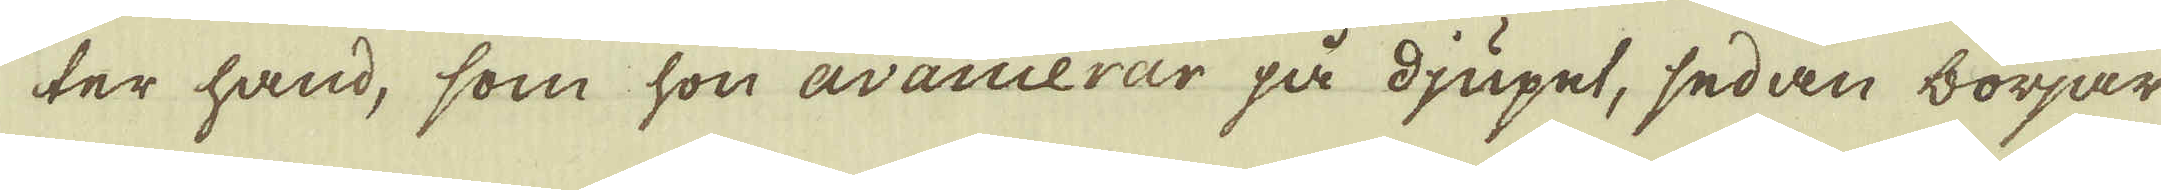ter hand, som hon avancerar på djupet, sedan börjar
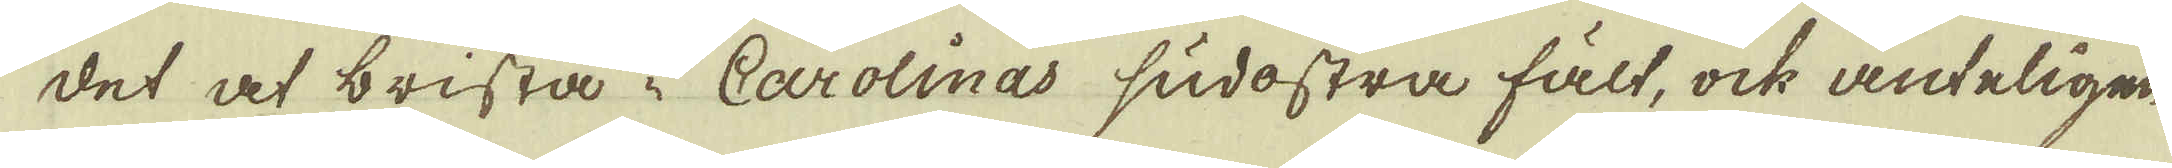det at brista i Carolinas sudostra fält, ock änteligen
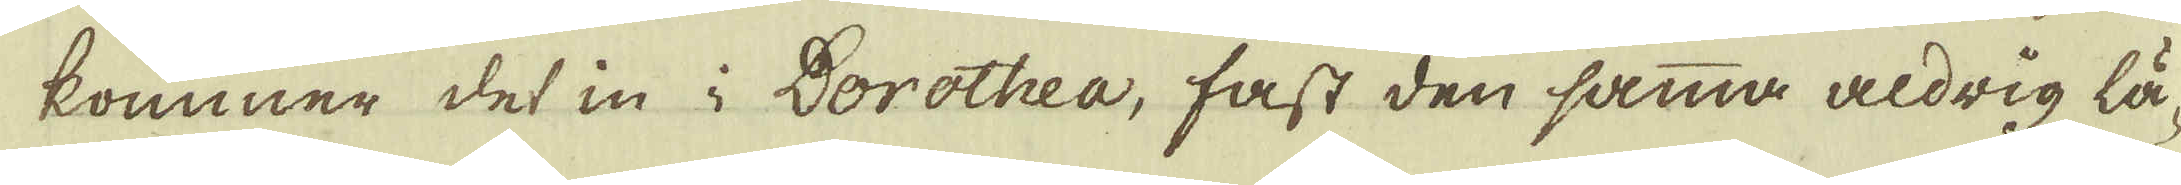kommer det in i Dorothea, fast den samma aldrig lä-
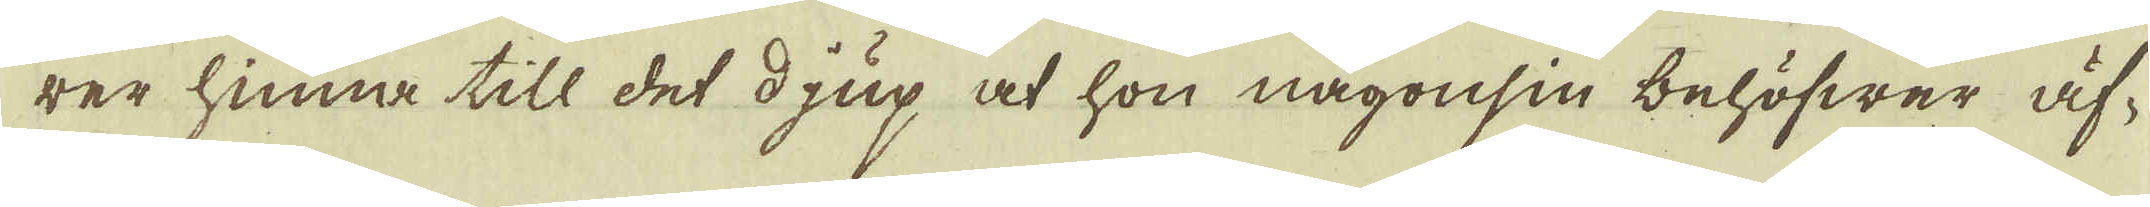rer hinna till det djup at hon någonsin behöfwer äf-
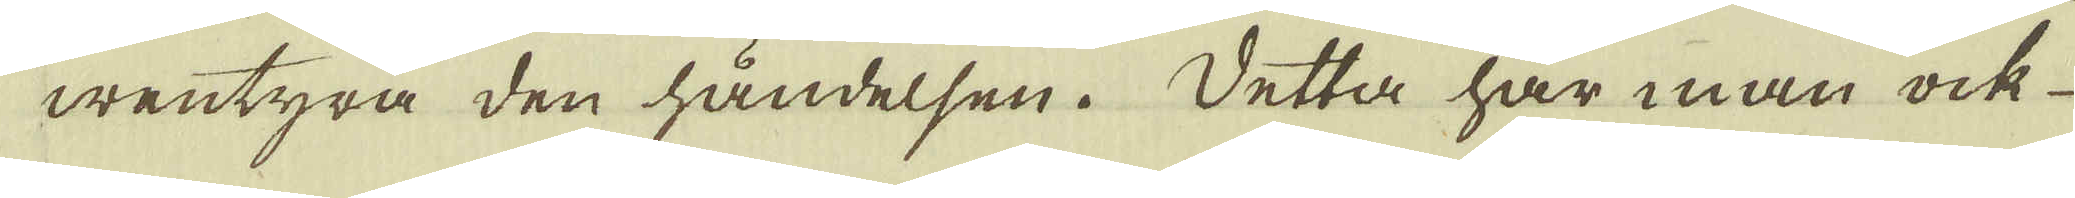wentyra den händelsen. Detta har man ock
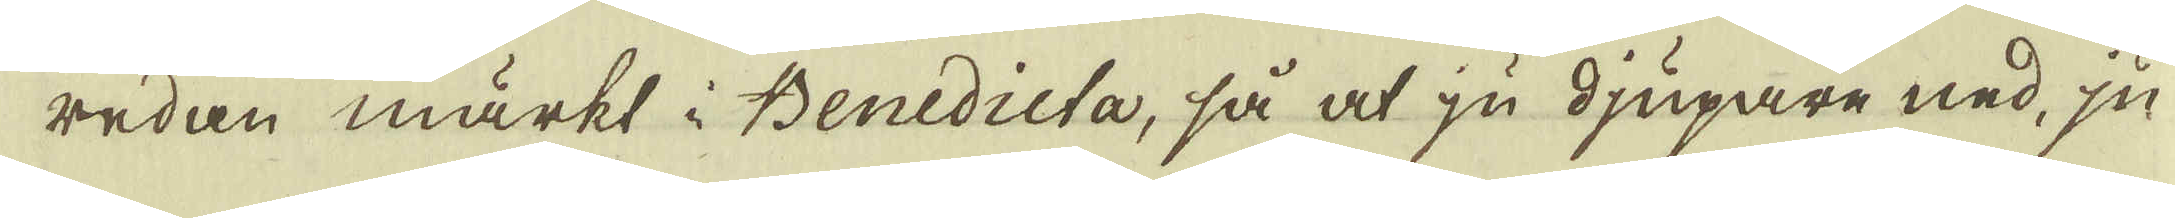redan märkt i Benedicta, så at ju djupare ned, ju-
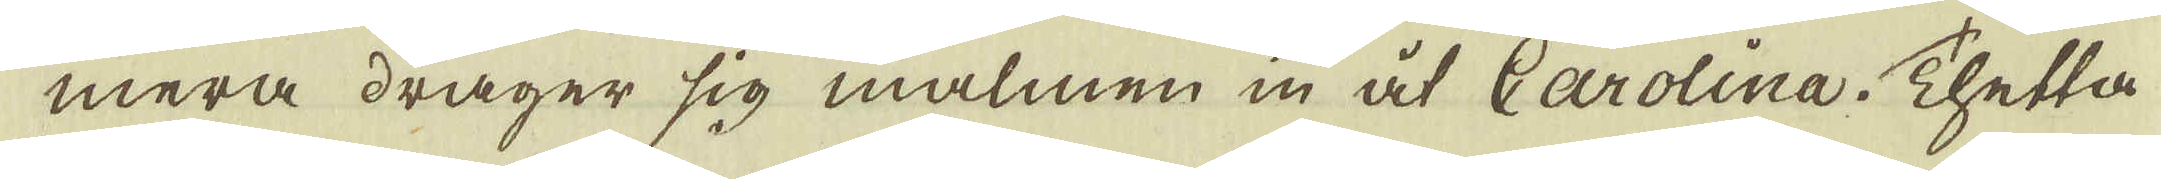mera drager sig malmen in åt Carolina. Thetta
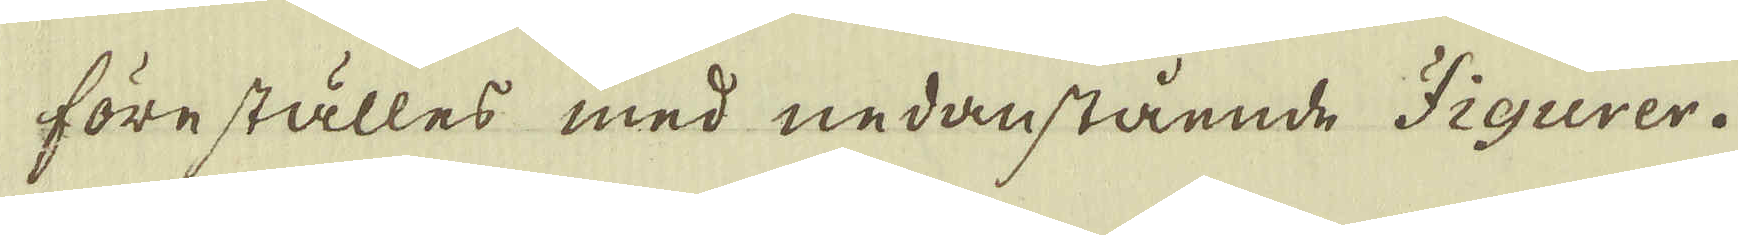föreställes med nedanstående Figurer.
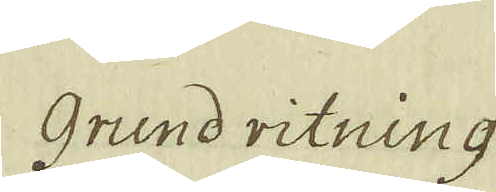Grund ritning
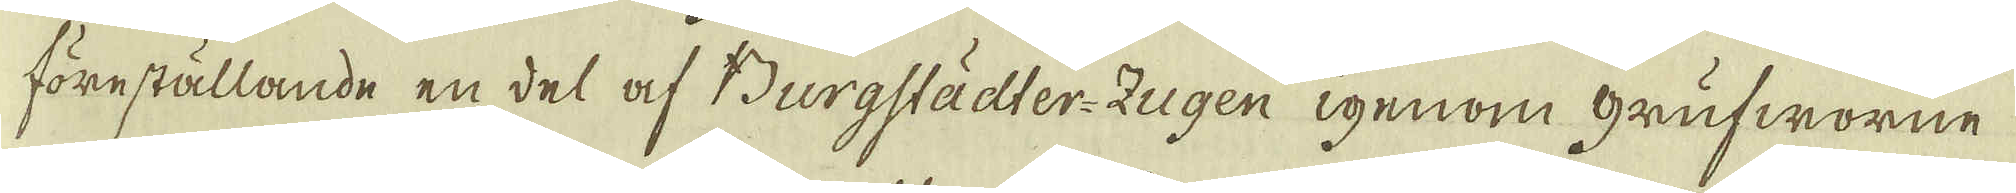föreställande en del af Burgstädler-Zugen igenom grufworne
